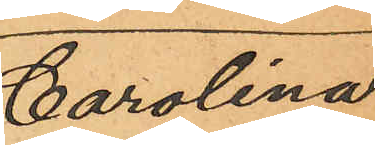Carolina
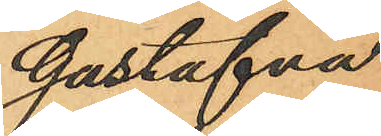Gustafva
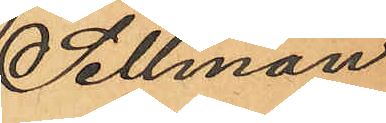Sellman
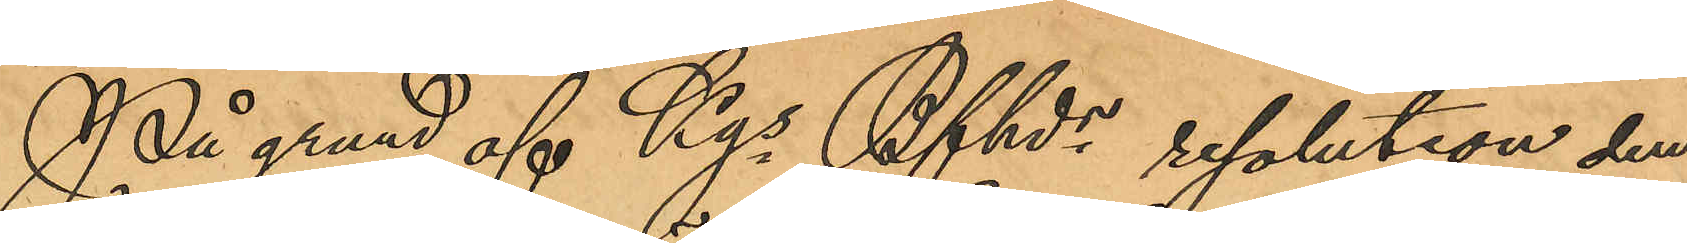På grund af Kgs Bfhds resolution den
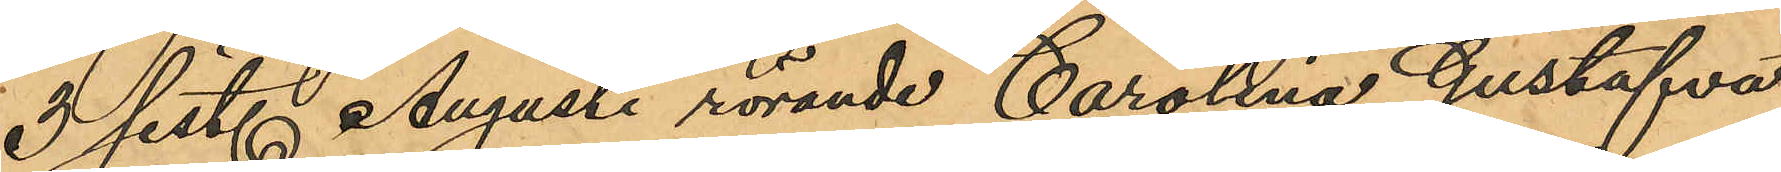3 sist. Augusti rörande Carolina Gustafva
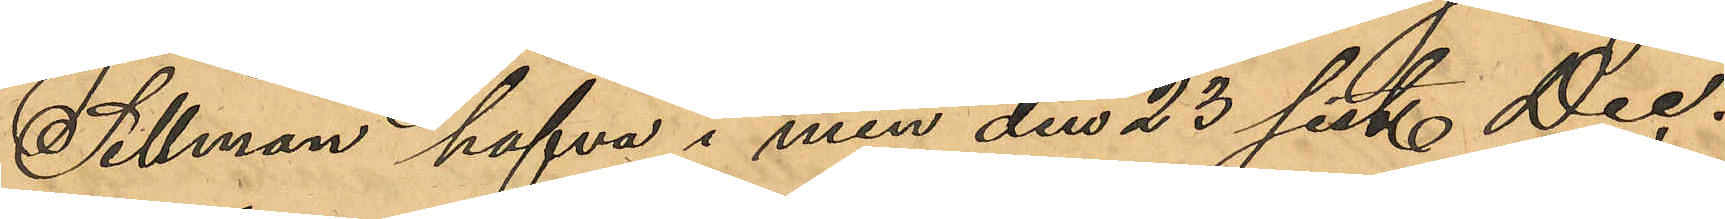Sellman hafva i min den 23 sist. Dec.
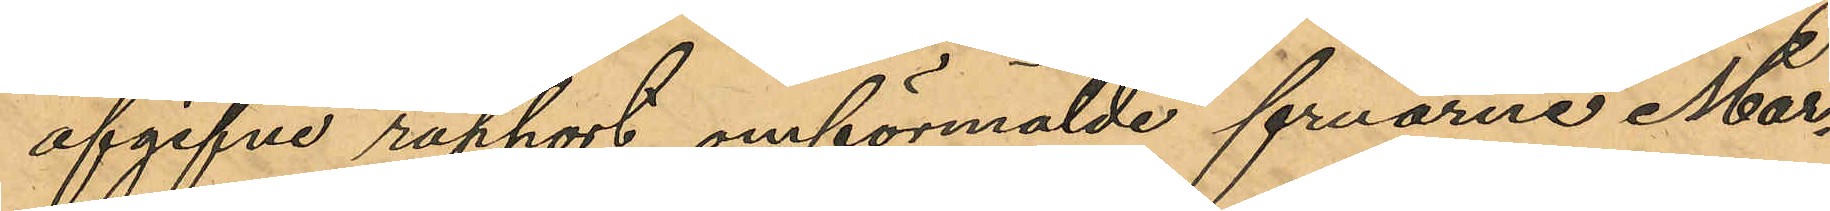afgifne rapport omförmälde fruarne Mar¬
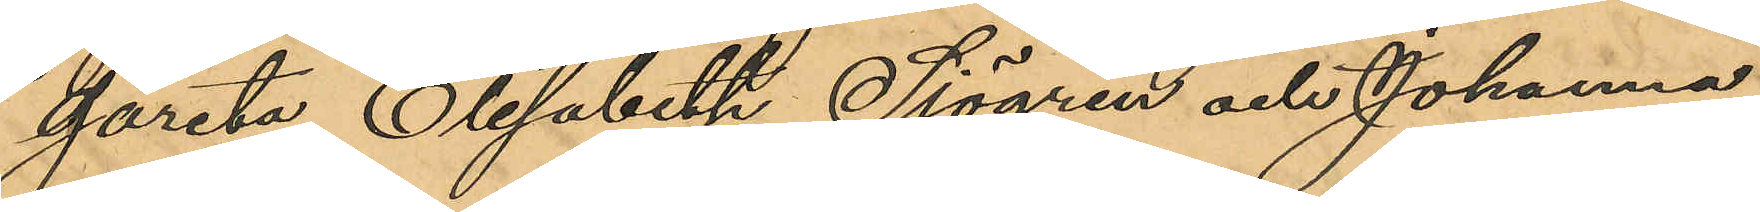gareta Elisabeth Sjögren och Johanna
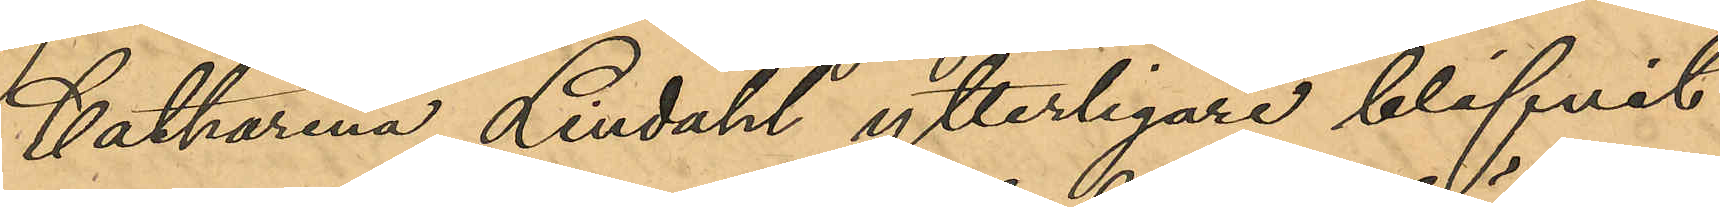Katharina Lindahl ytterligare blifvit
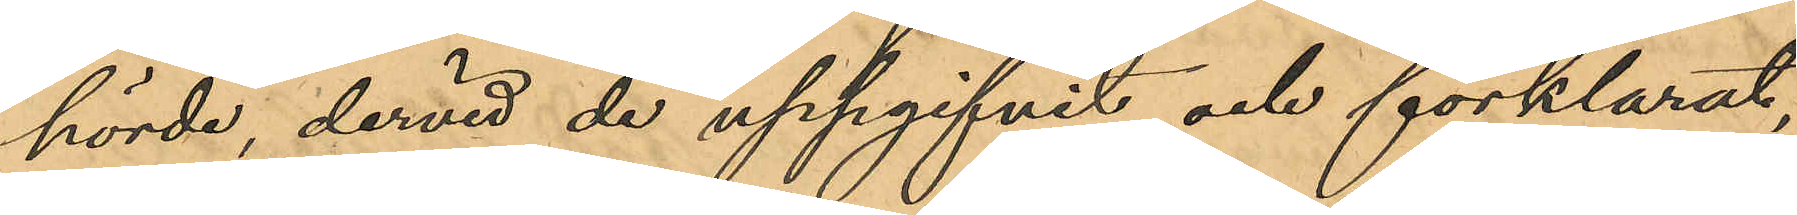hörde, dervid de uppgifvit och förklarat,
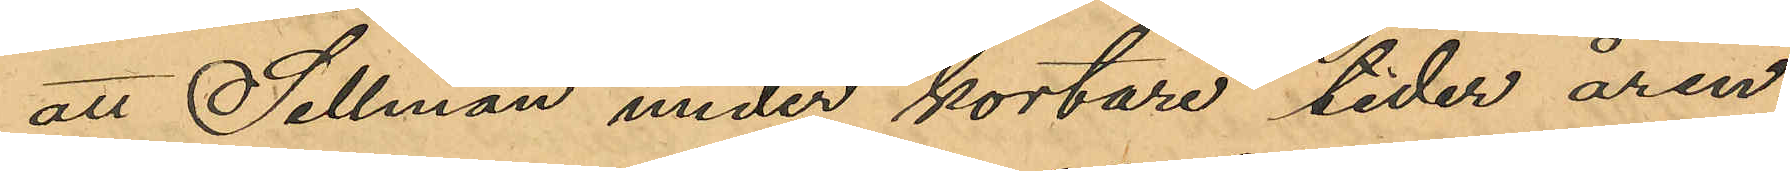att Sellman under kortare tider åren
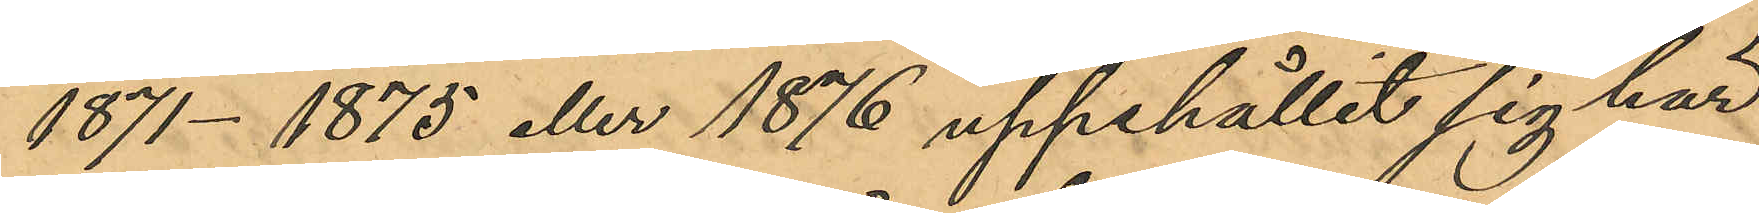1871- 1875 eller 1876 uppehållit sig här
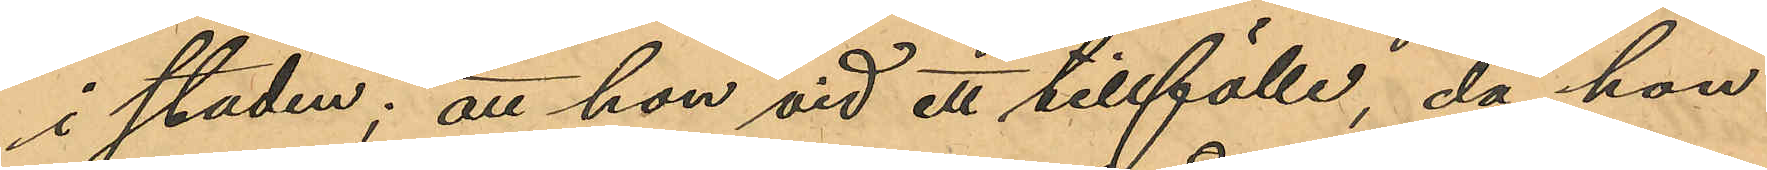i staden; att hon vid ett tillfälle, då hon
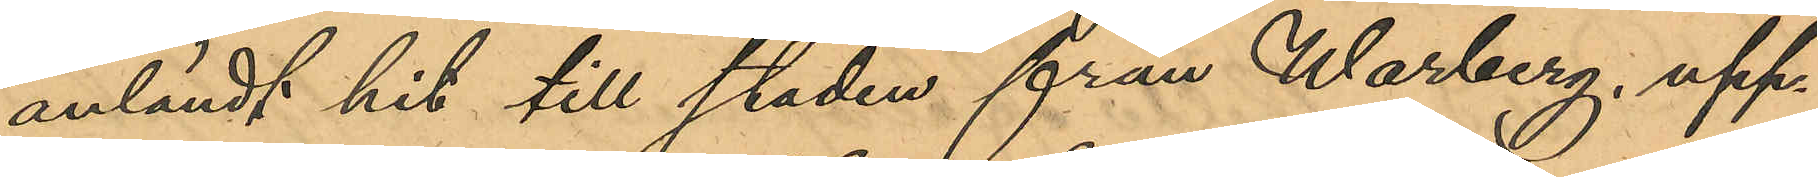anländt hit till staden från Warberg, upp¬
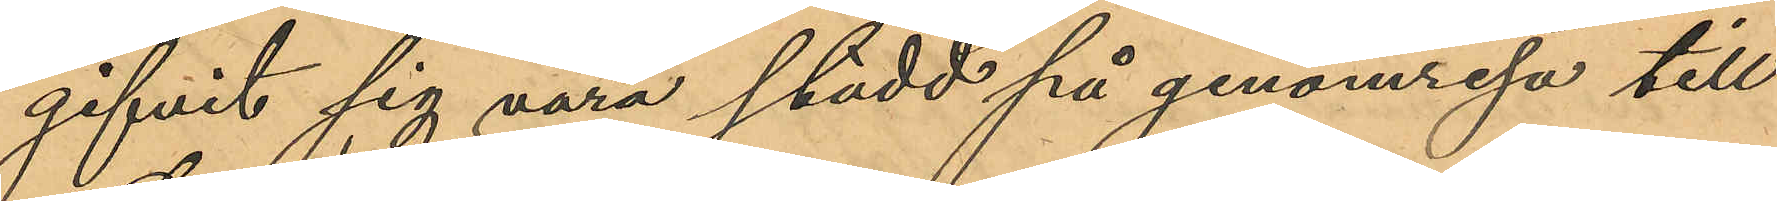gifvit sig vara stadd på genomresa till
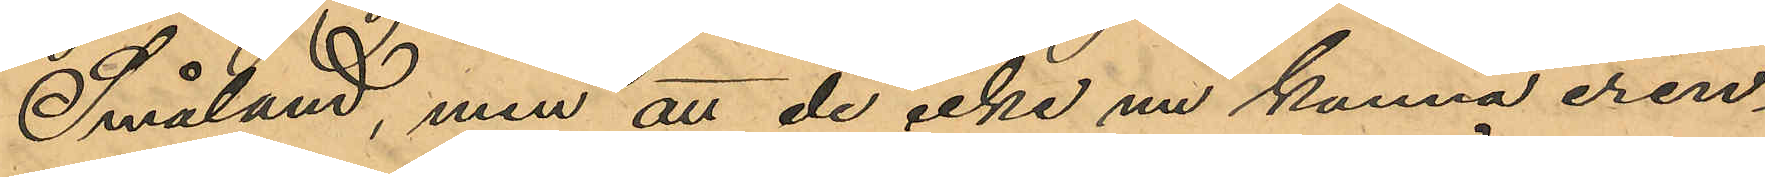Småland, men att de icke nu kunna erin¬
